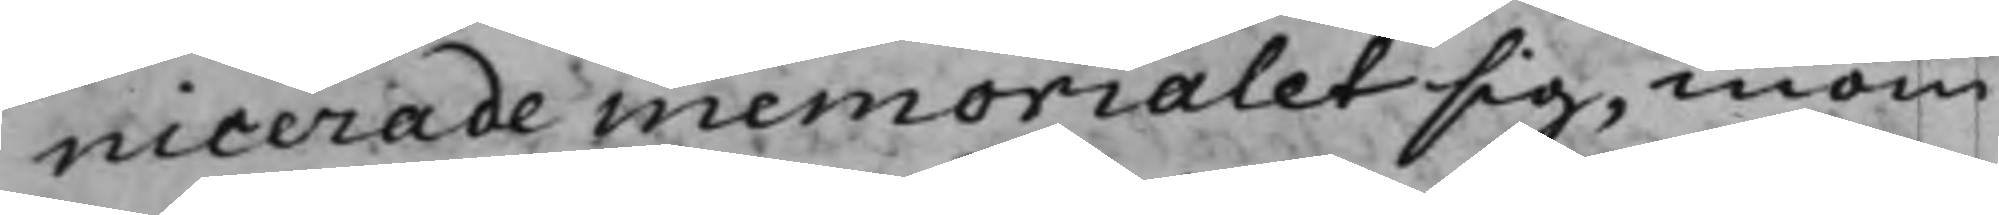nicerade memorialet sig, inom
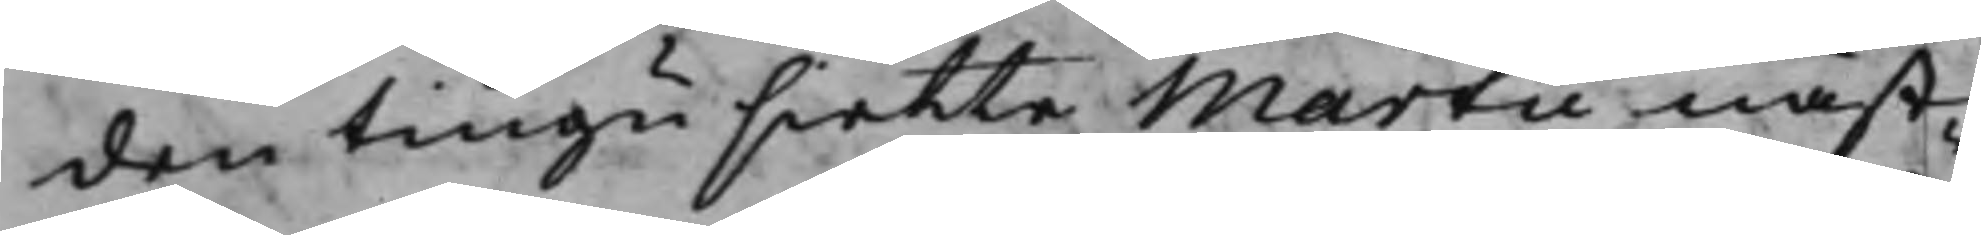den tiugusiette Martii näst¬
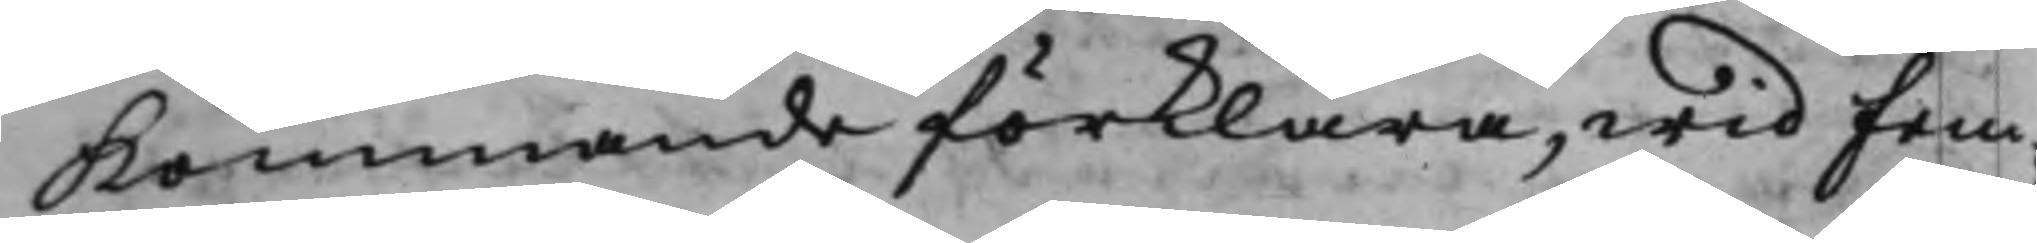Kommande förklara, wid Fem¬
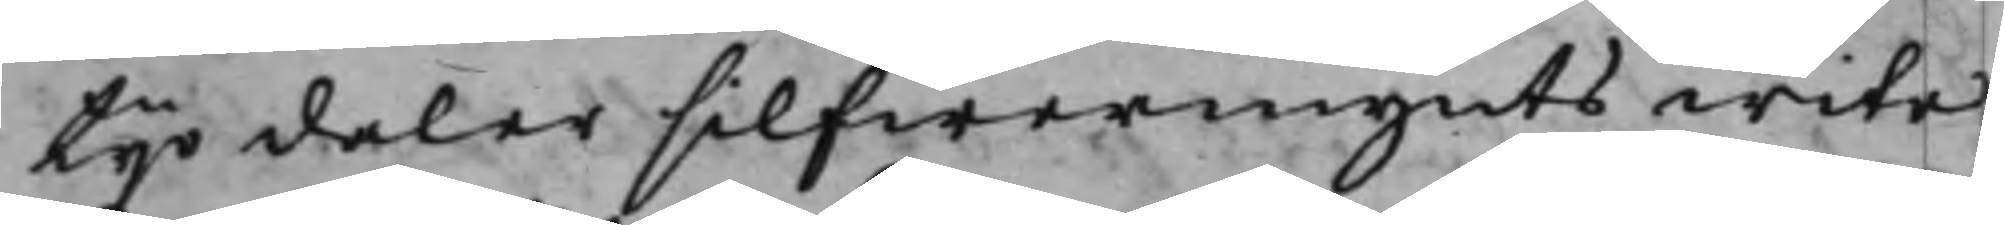tijo daler silfwermynts wite.
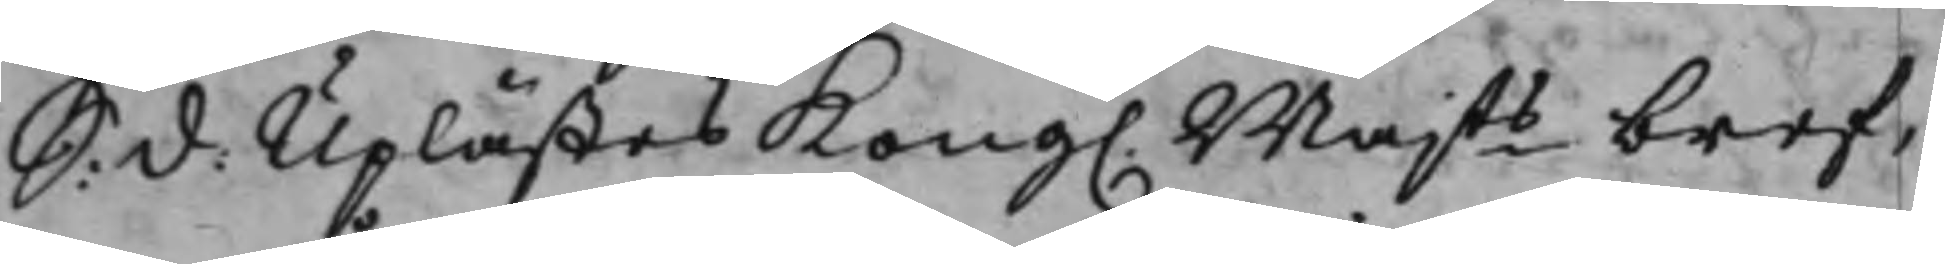S: d: Uplästes Kong. Majts bref,
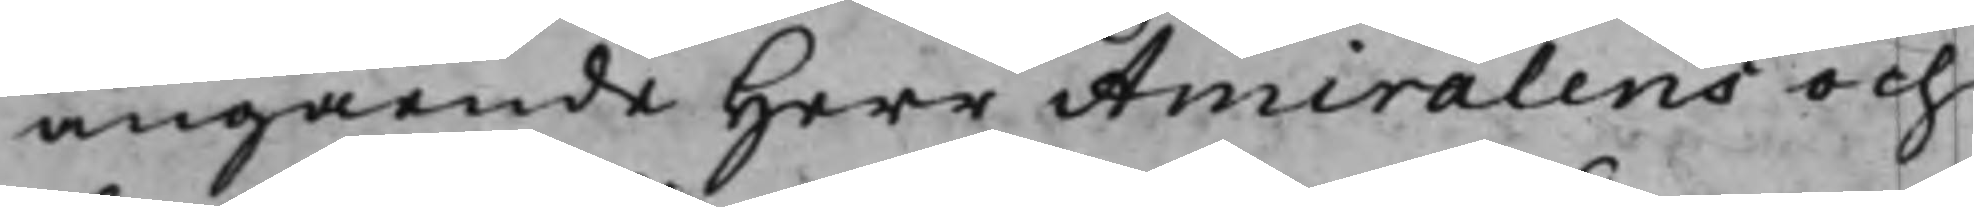angående Herr Amiralens och
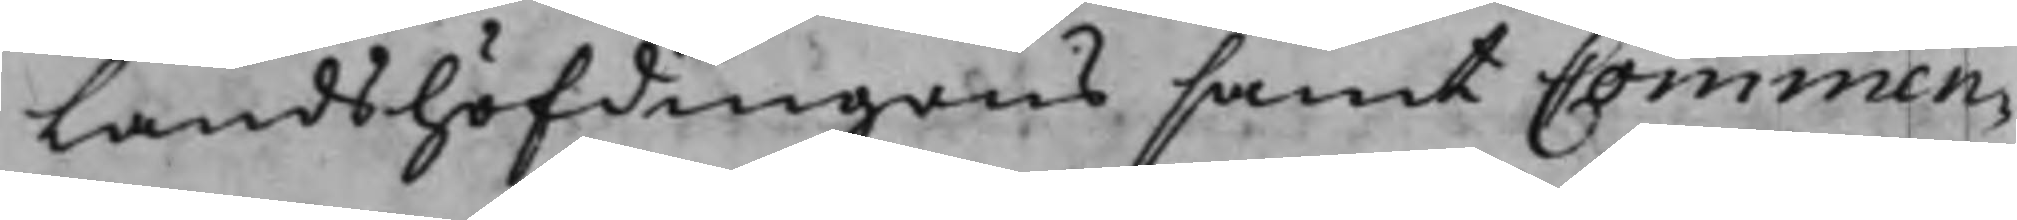Landshöfdingens samt Commen¬
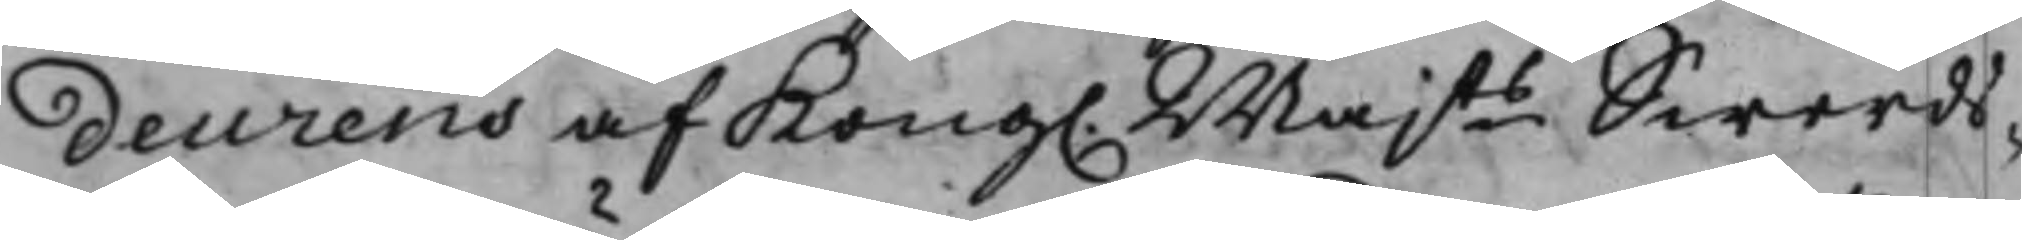deurens af Kong. Majts Swerds¬
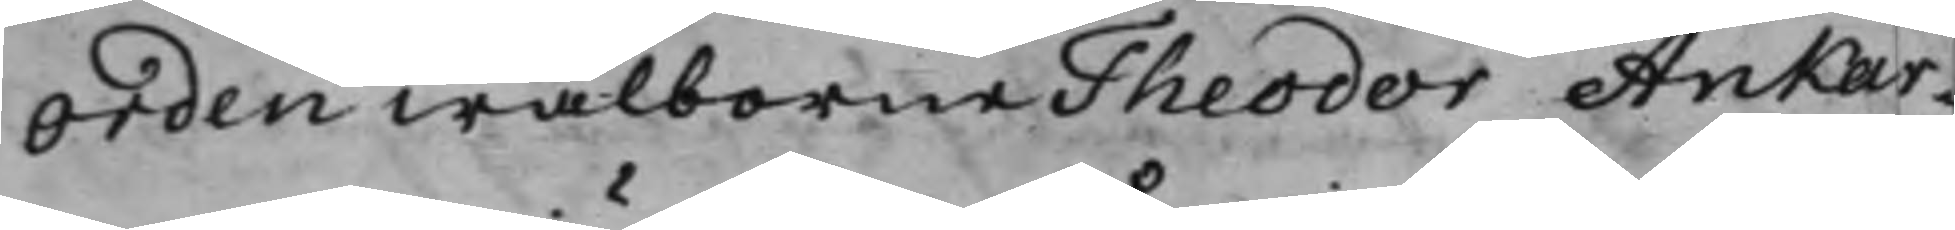Orden wälborne Theodor Ankar¬
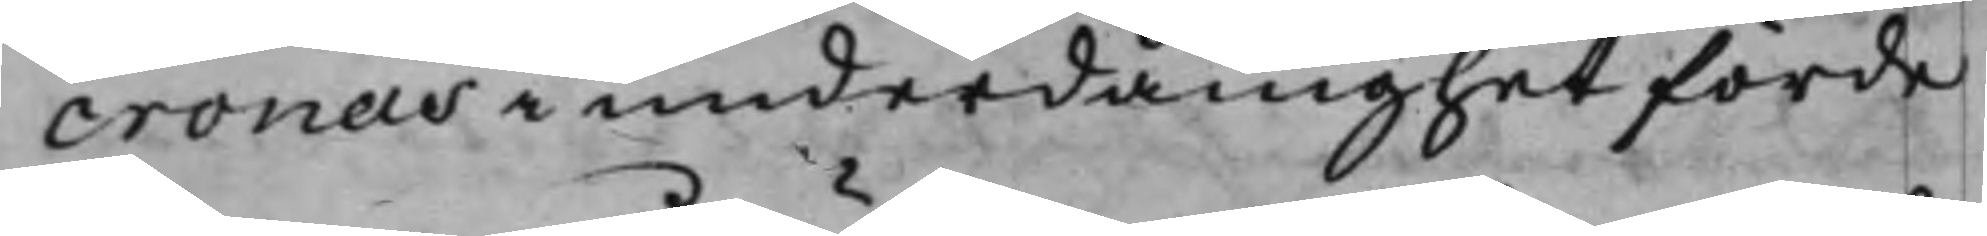cronas i underdånighet förde
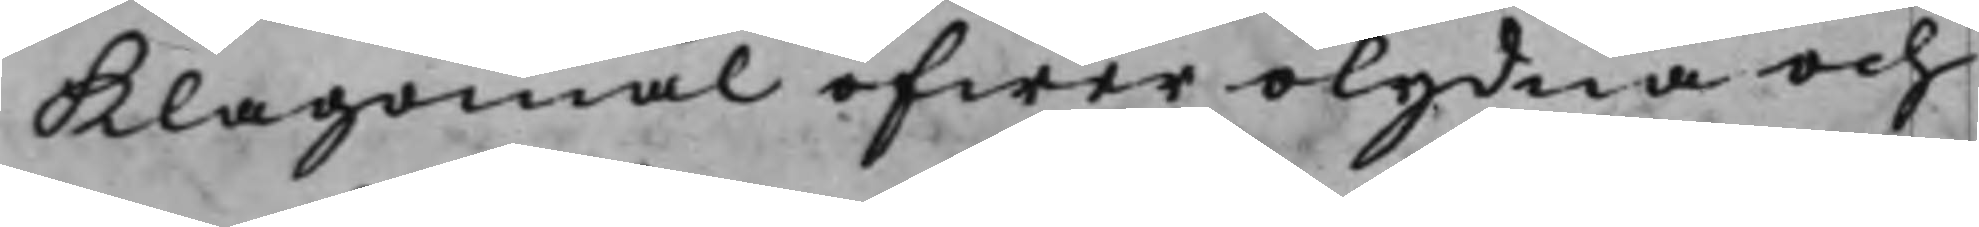Klagomål öfwer olydna och
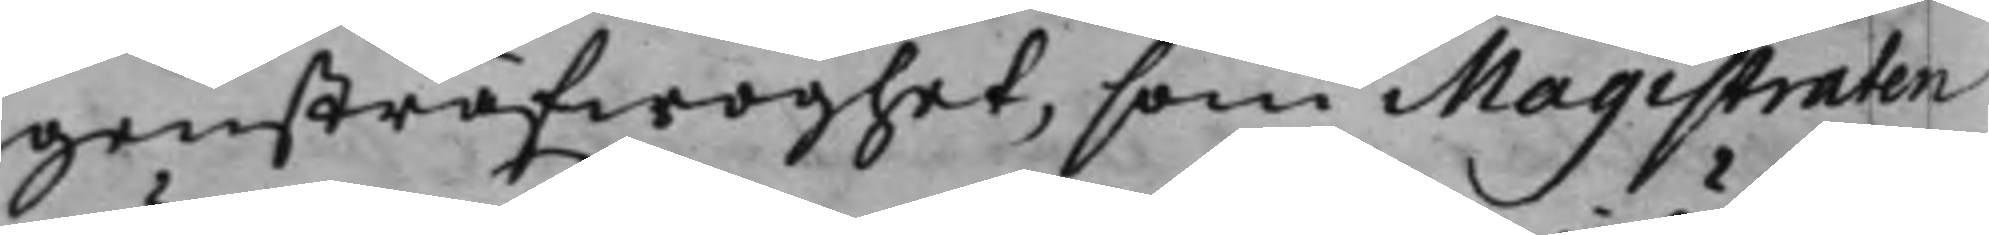gensträfwighet, som Magistraten
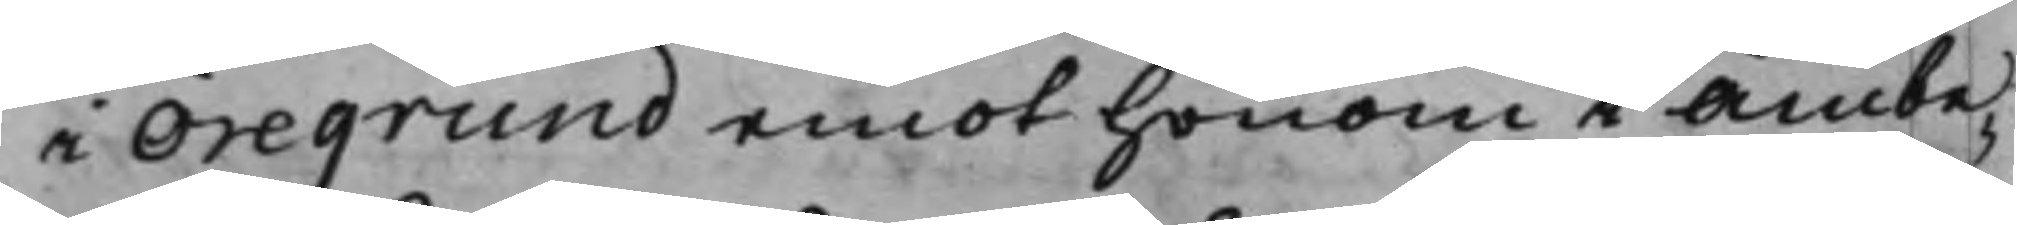i Öregrund emot honom i Ämbe¬
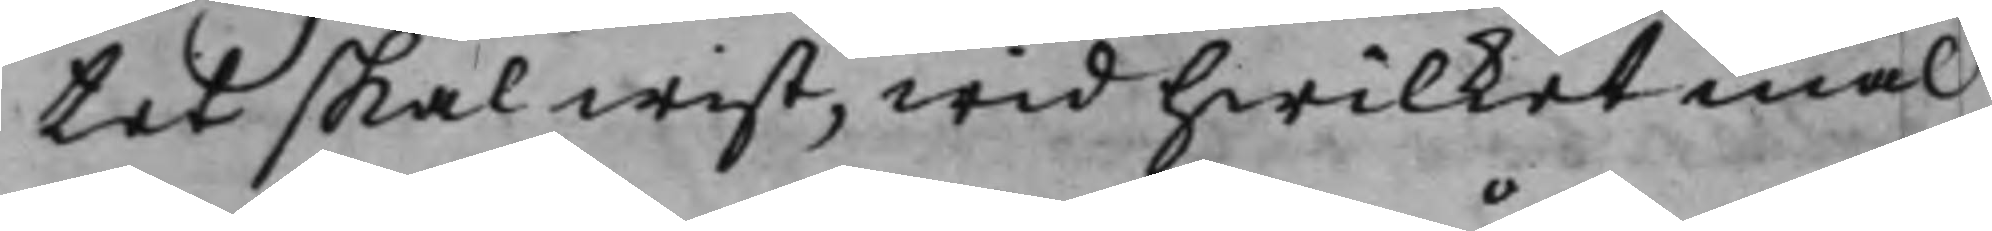tet skall wist, wid hwilket mål
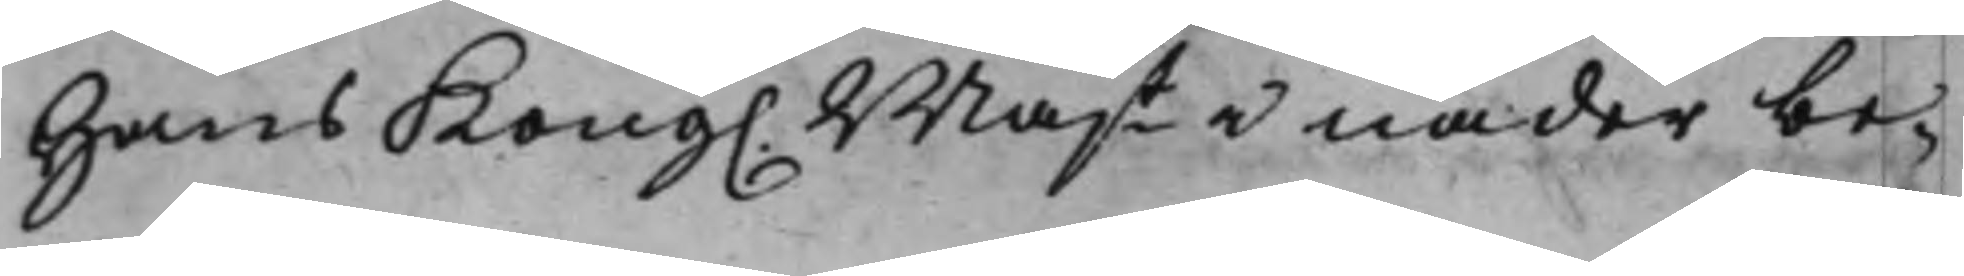Hans Kong. Majt i nåder be¬
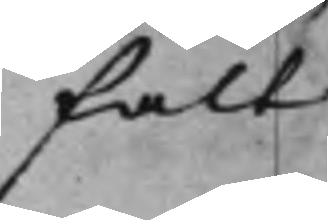falt
